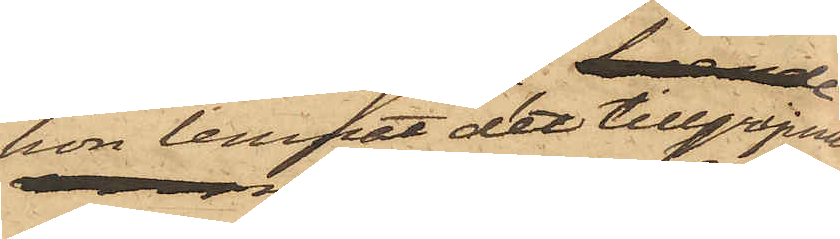hon lemnat det tillgripna
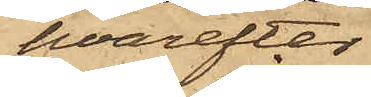hvarefter
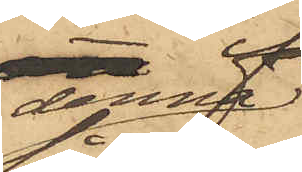denna
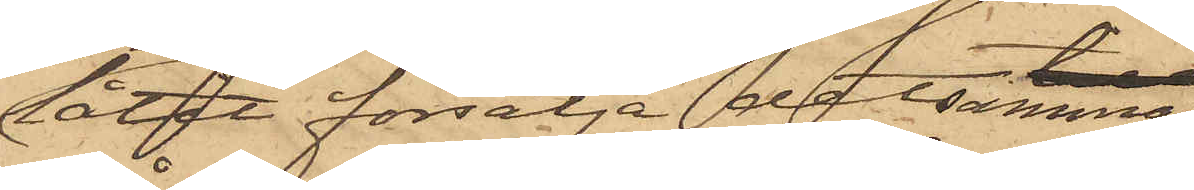låtit försälja detsamma
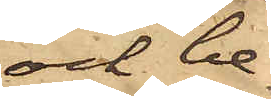och be¬
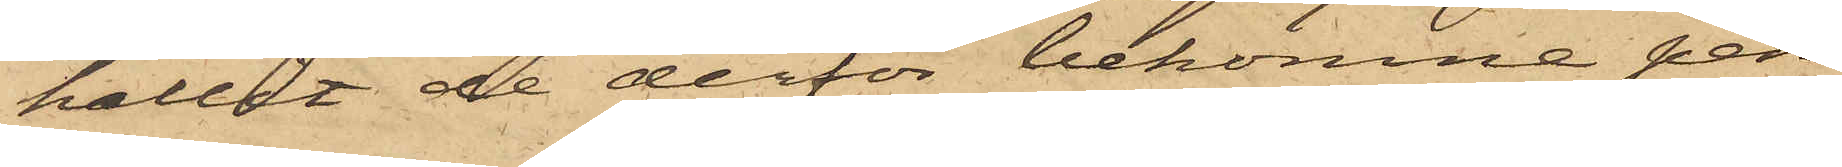hållit de derför bekomne pen¬
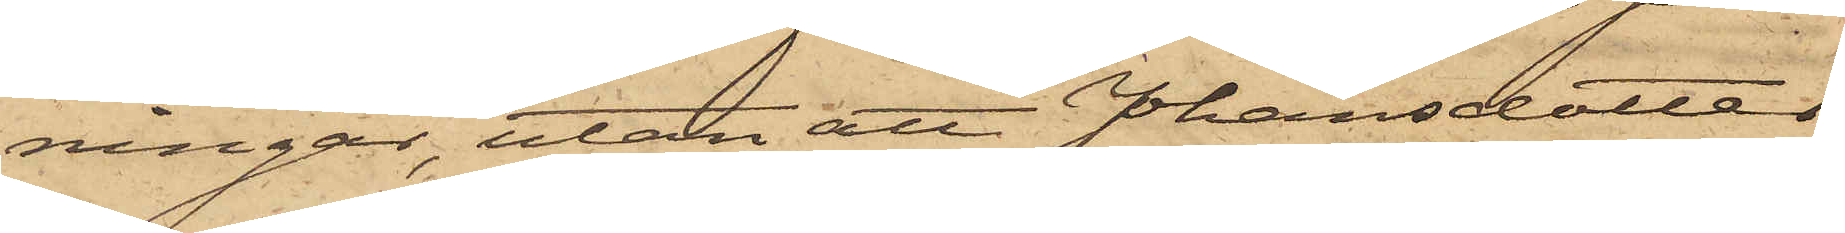ningar, utan att Johansdotter
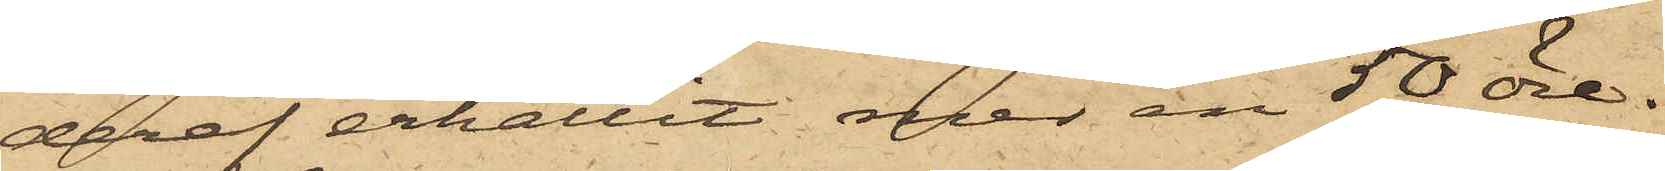deraf erhållit mer än 50 öre.
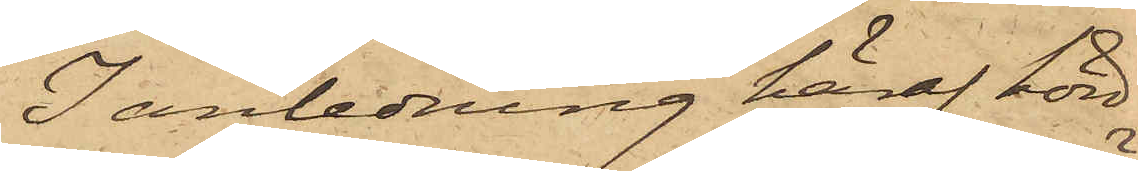I anledning häraf hörd,
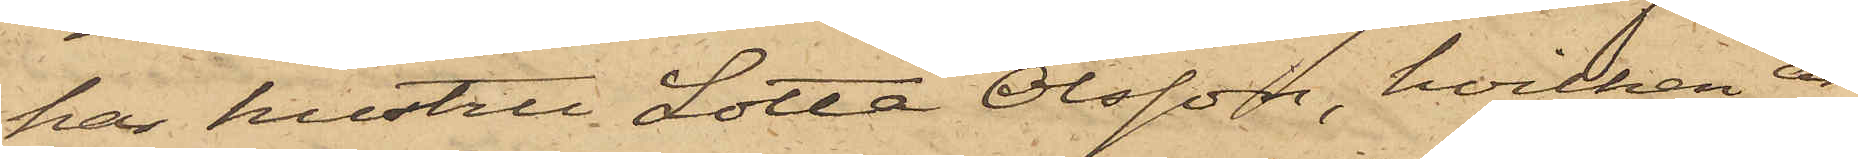har hustru Lotta Olsson, hvilken är
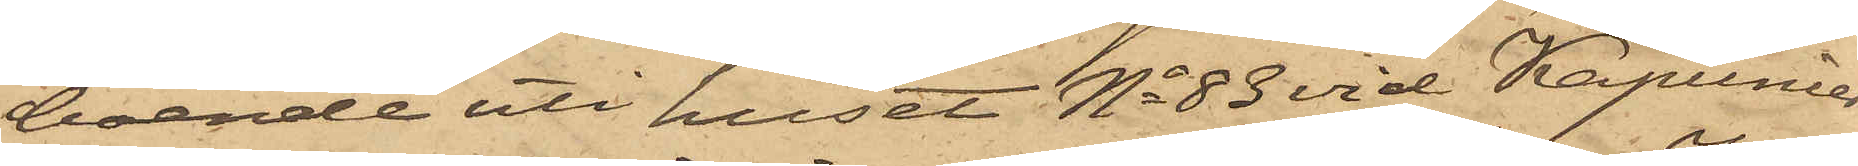boende uti huset No 83 vid Kapunier¬
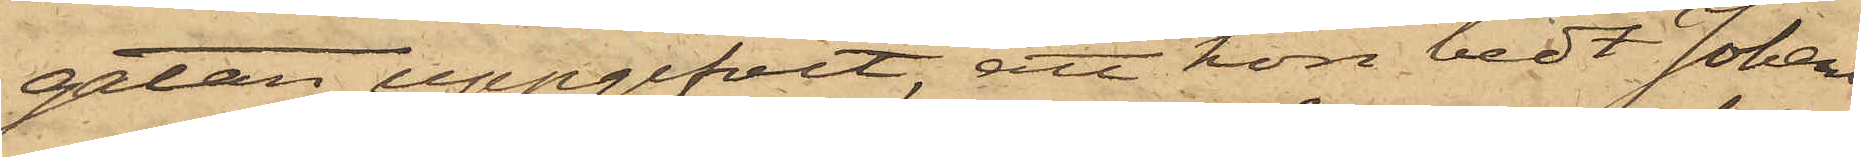gatan, uppgifvit, att hon bedt Johans¬
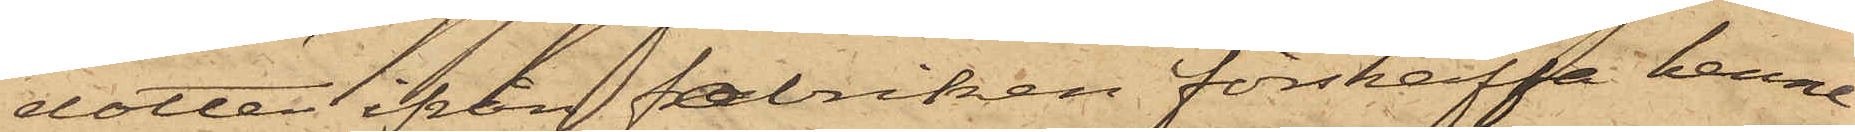dotter ifrån fabriken förskaffa henne
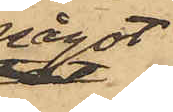något
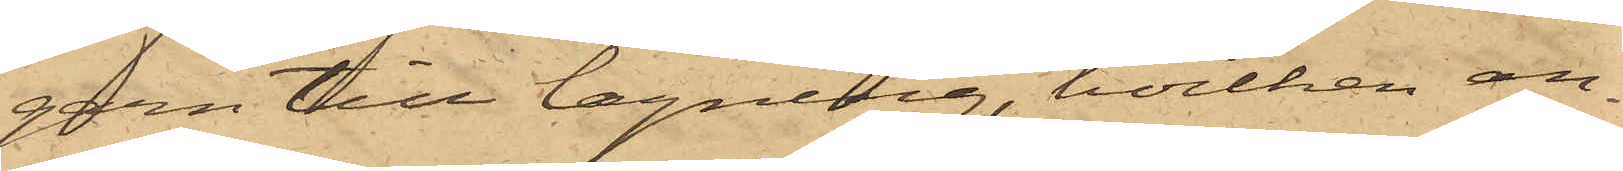garn till lagning, hvilken an¬
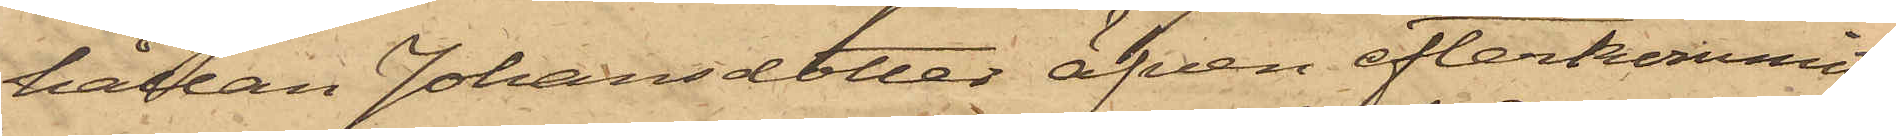hållan Johansdotter äfven efterkommit,
